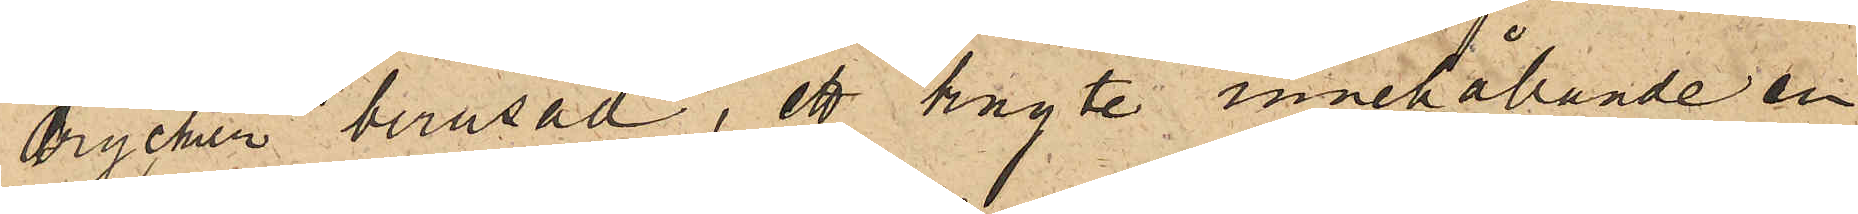drycker berusad, ett knyte innehållande en
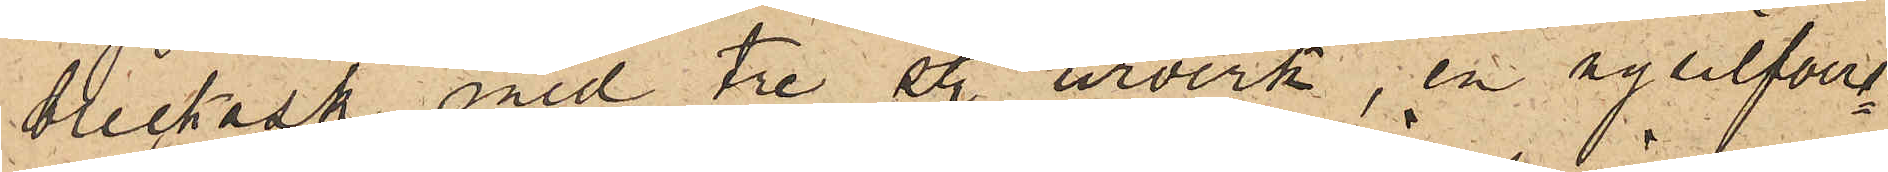bleckask med tre st urverk, en nysilfver¬
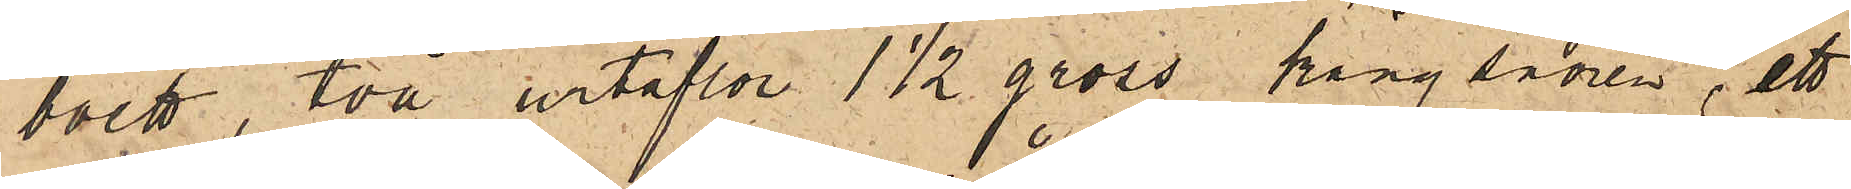boett, två urtaflor 1½ gross kängsnören, ett
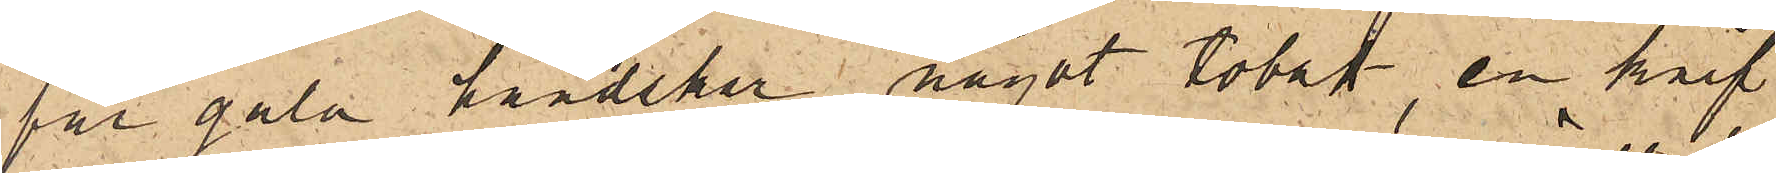par gala handskar något tobak, en hvit
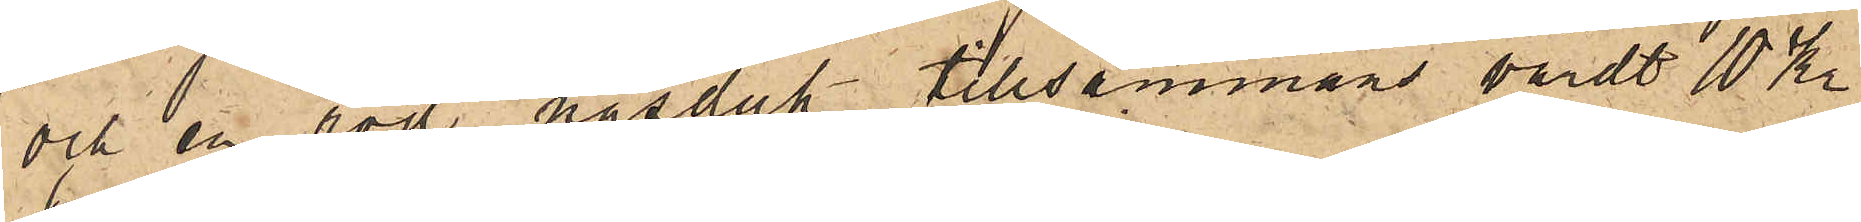och en röd näsduk tillsammans värdt 10 Kr
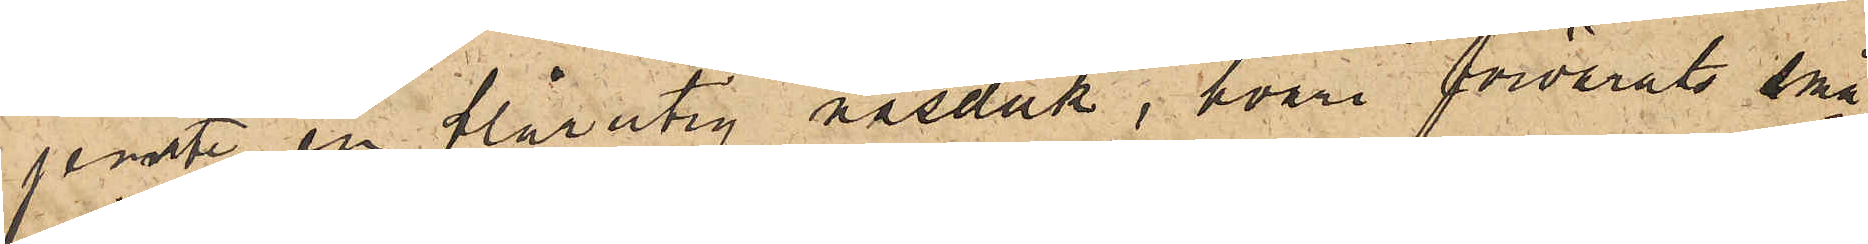jemte en blårutig näsduk, hvari förvarats små¬
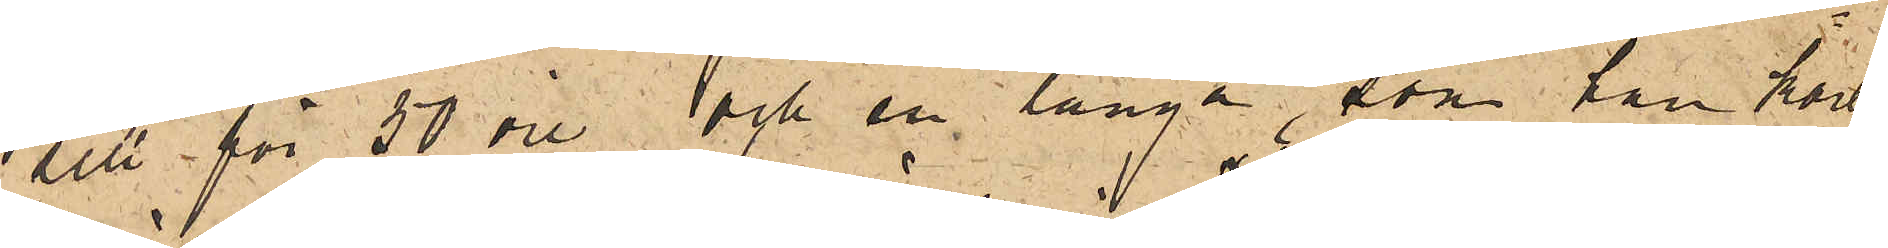sill för 50 öre och en långa, som han kort
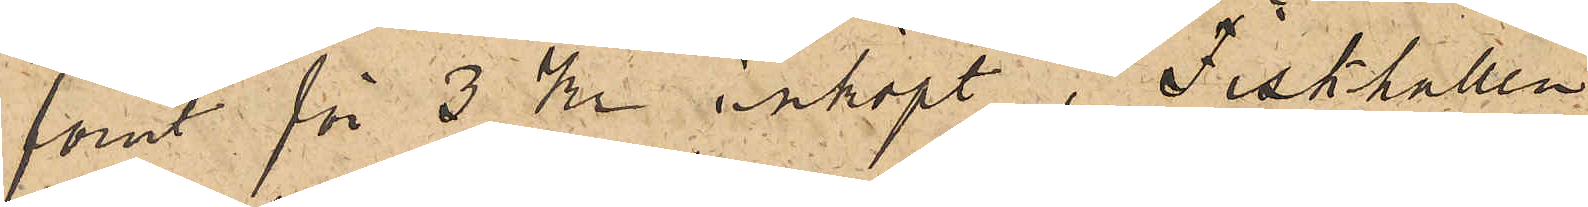förut för 3 kr inköpt i Fiskhallen.
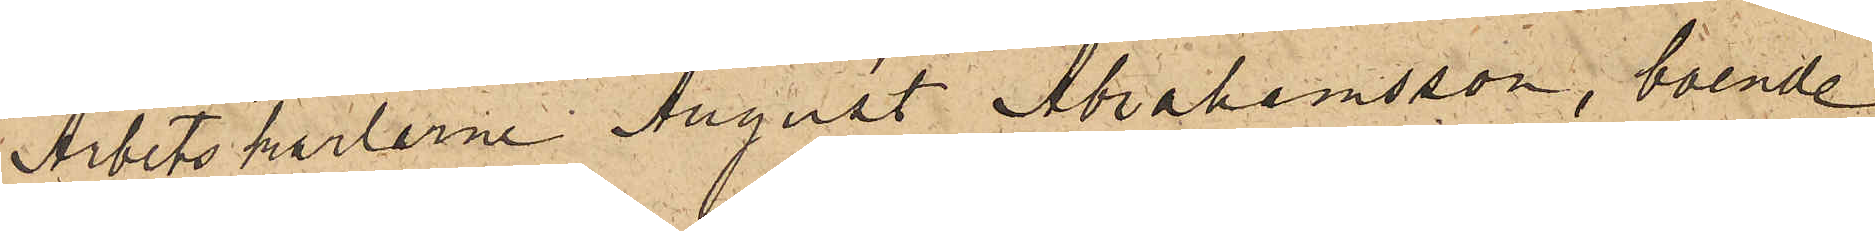Arbetskarlarne August Abrahamsson, boende
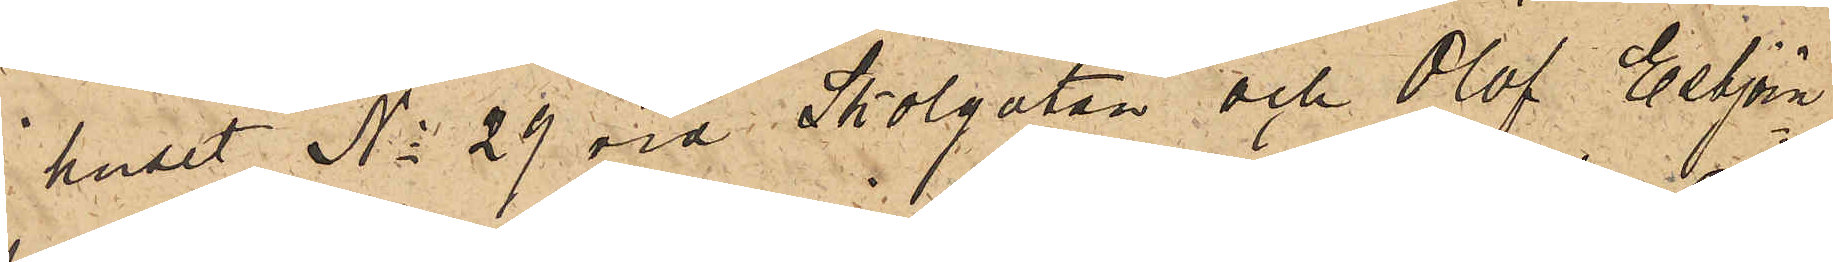huset No 29 vid Skolgatan och Olof Esbjörn¬
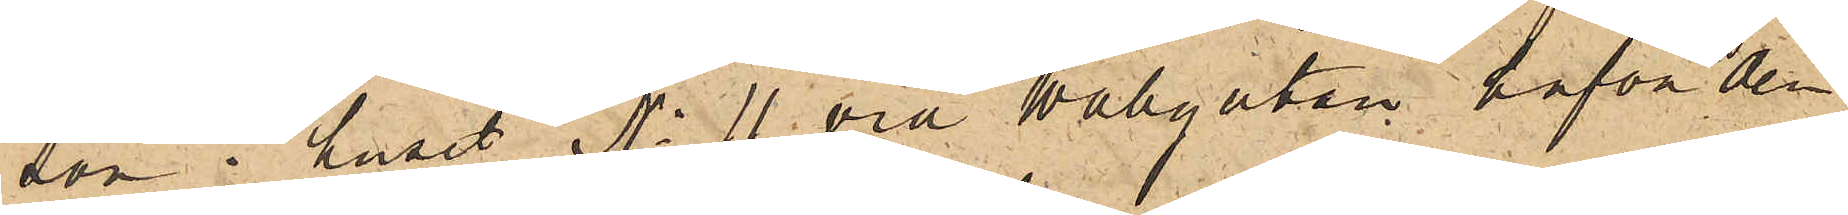son i huset No 11 vid Wallgatan hafva den
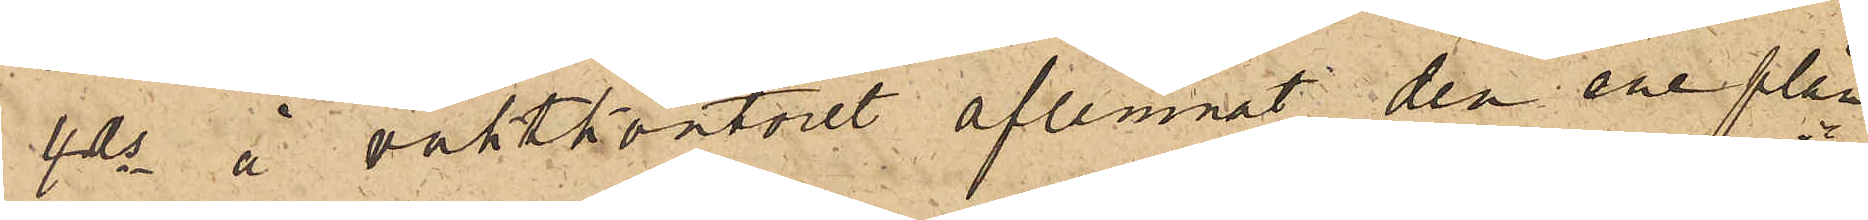4 ds å vaktkontoret aflemnat den ene plån¬
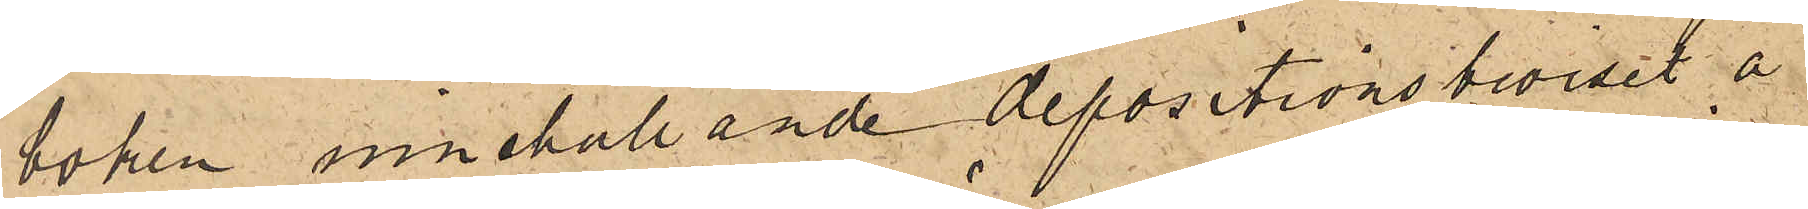boken innehållande depositionsbeviset å
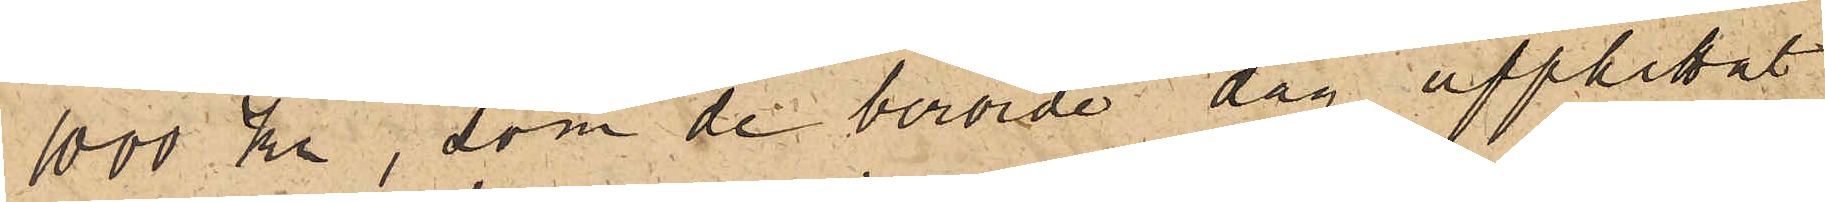1000 kr, som de berörde dag upphittat
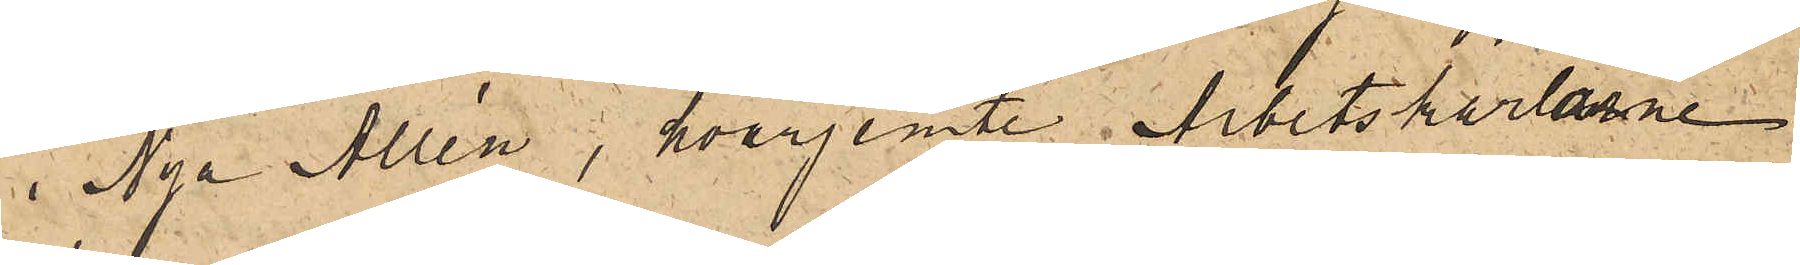i  Nya Allén, hvarjemte Arbetskarlarne
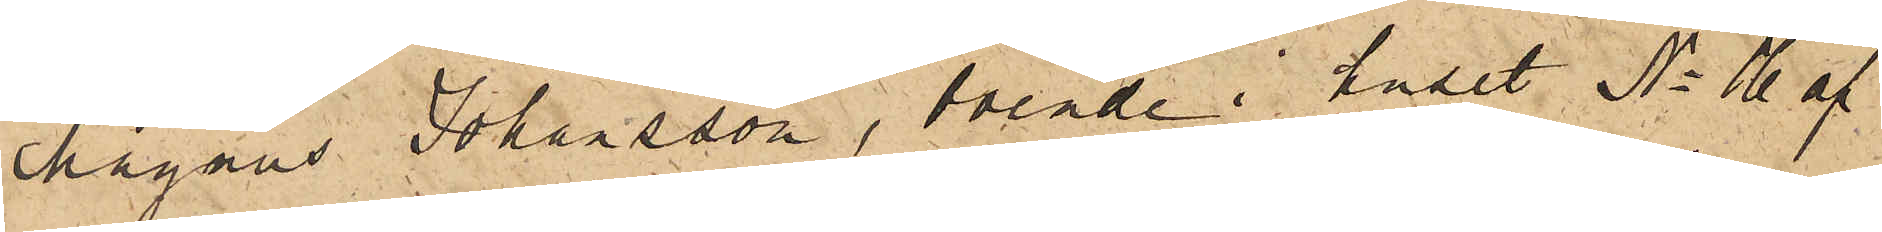Magnus Johansson, boende i huset No 16 af
